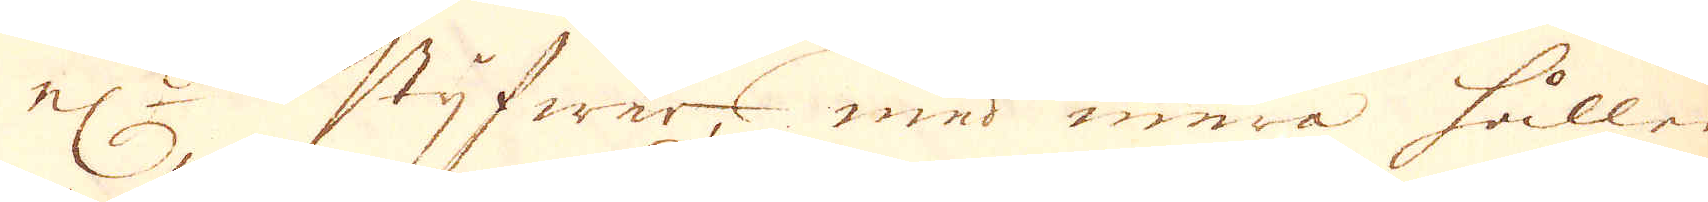el:r styfwer, med ena hållen
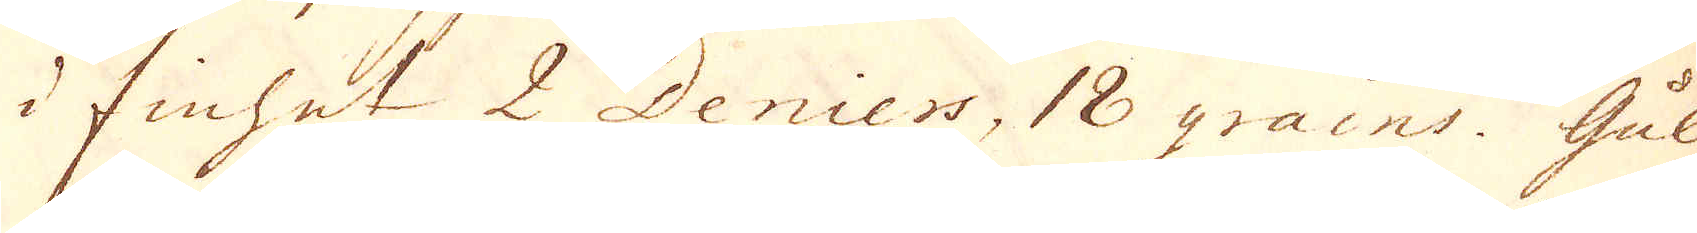i finhet 2 Deniers, 18 grains. Gull
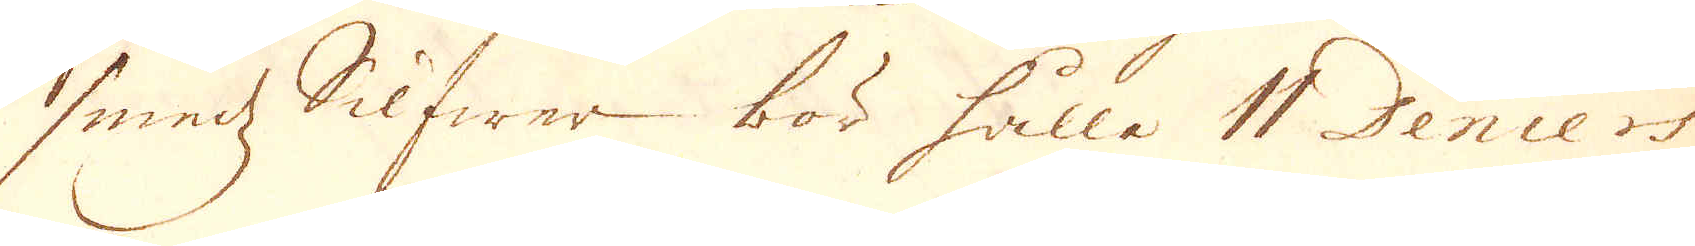smedz Silfwer bör hålla 11 Deniers
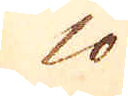10
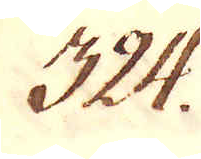324.
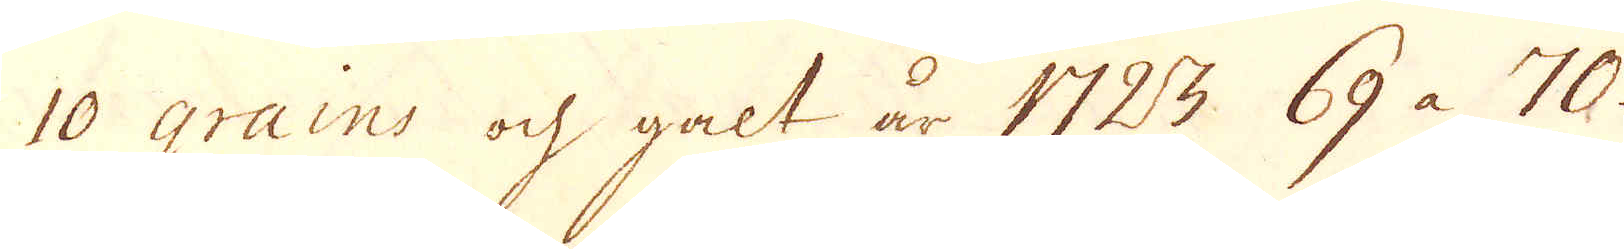10 grains ock galt år 1723 69 à 70.
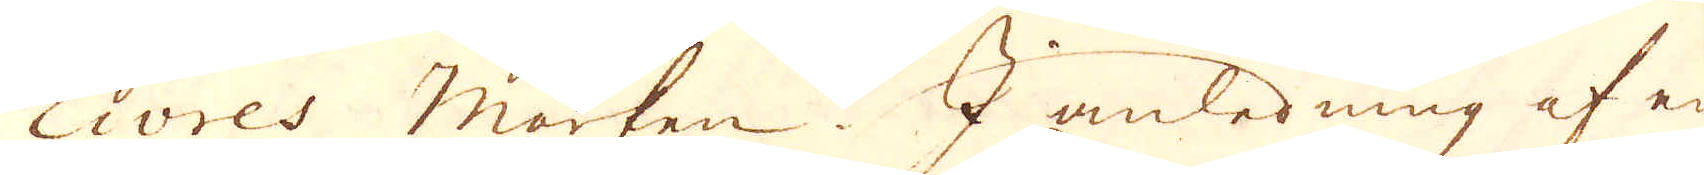Livres marken. I anledning af en
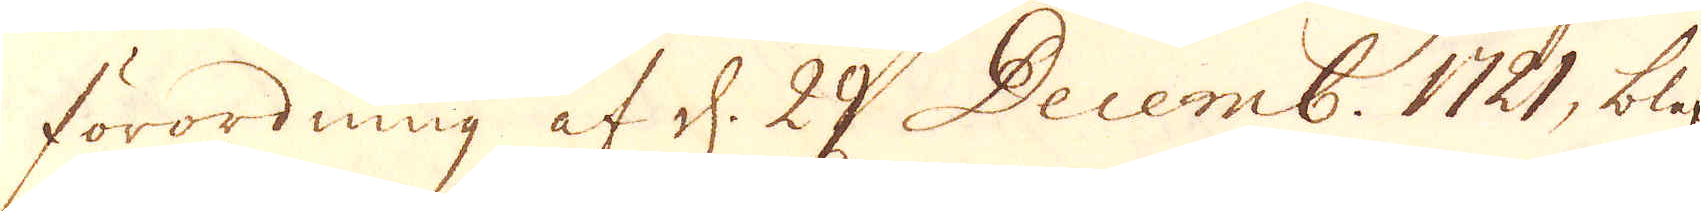förordning af d. 29 Decemb. 1721, blif-
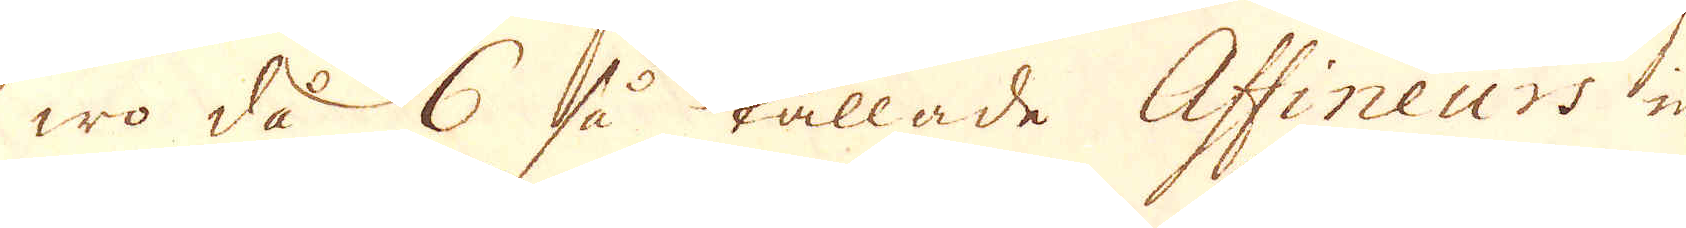wo då 6 så kallade Affineurs in-
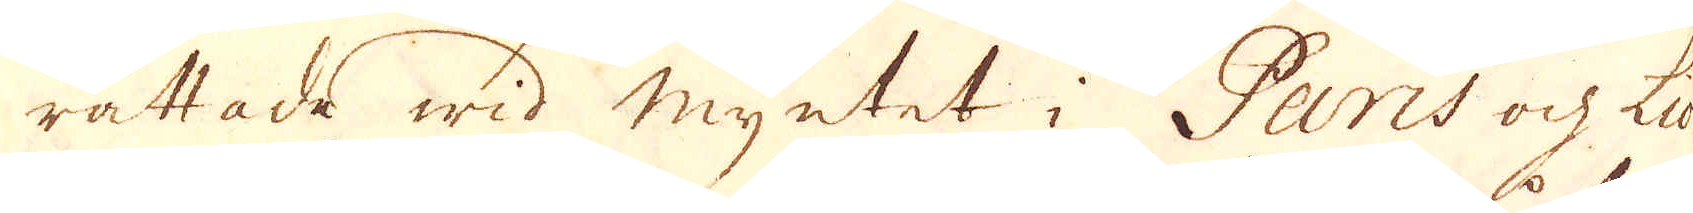rättade wid myntet i Paris ock Lion
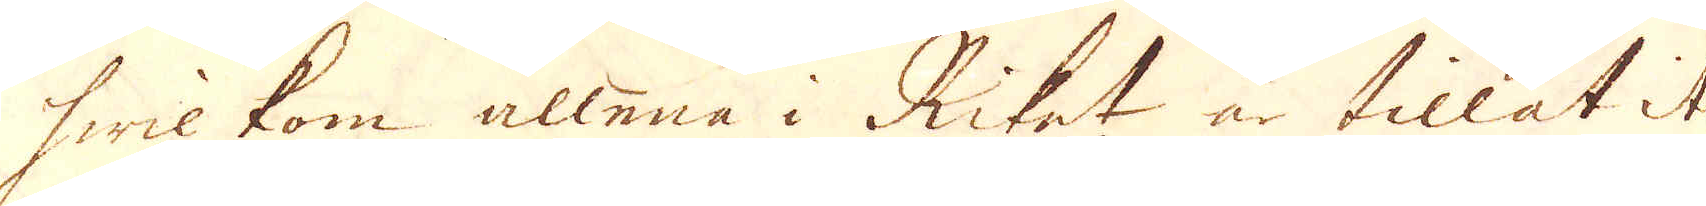hwilkom allena i Riket är tillåtit
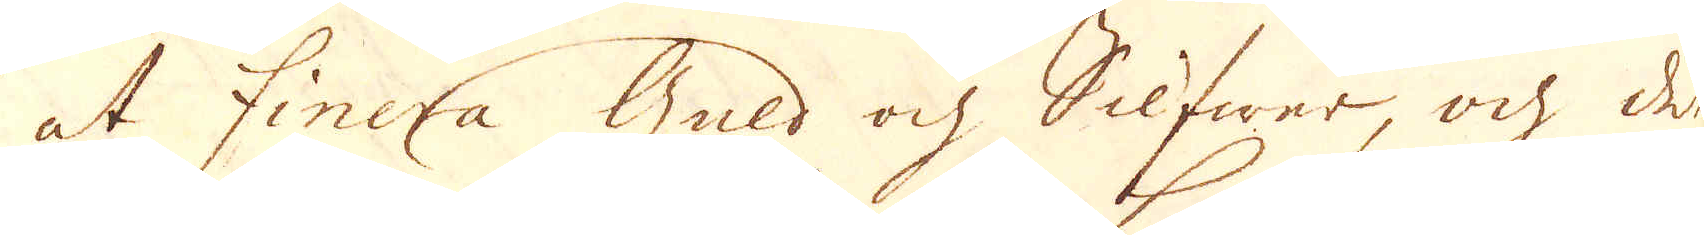at finera Guld och Silfwer, och det
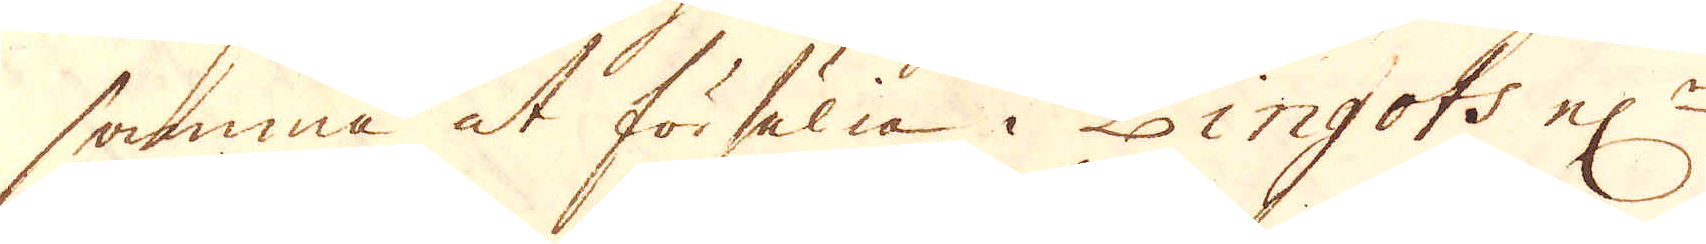samma at försälja i Lingots el:r
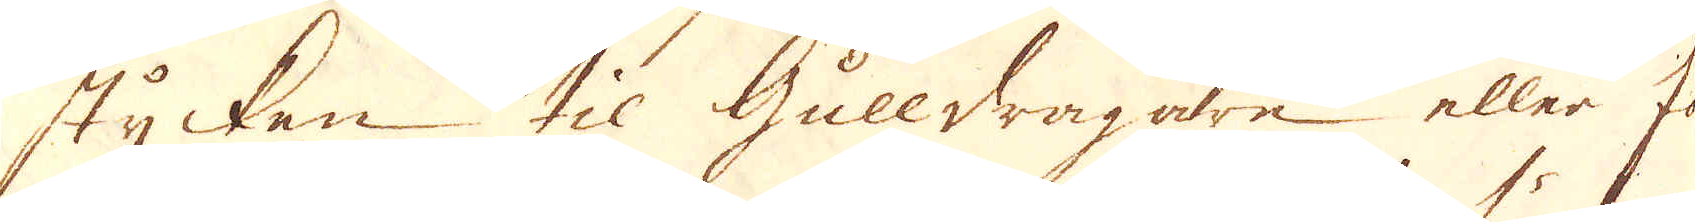stycken til Gulldragare eller för
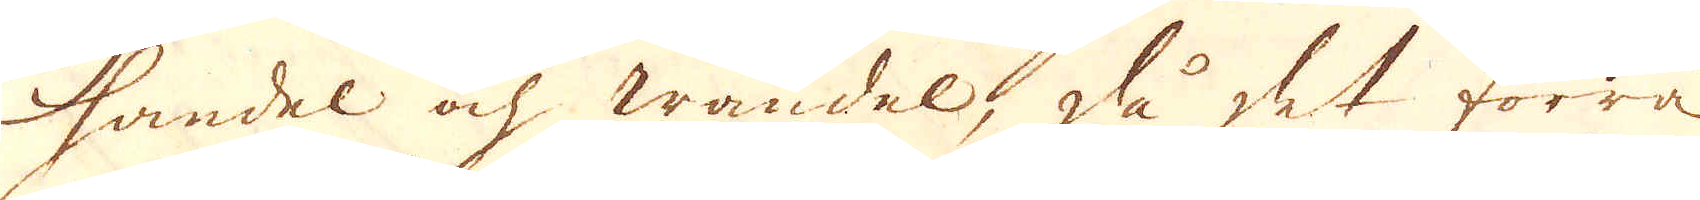handel och wandel, då det förra
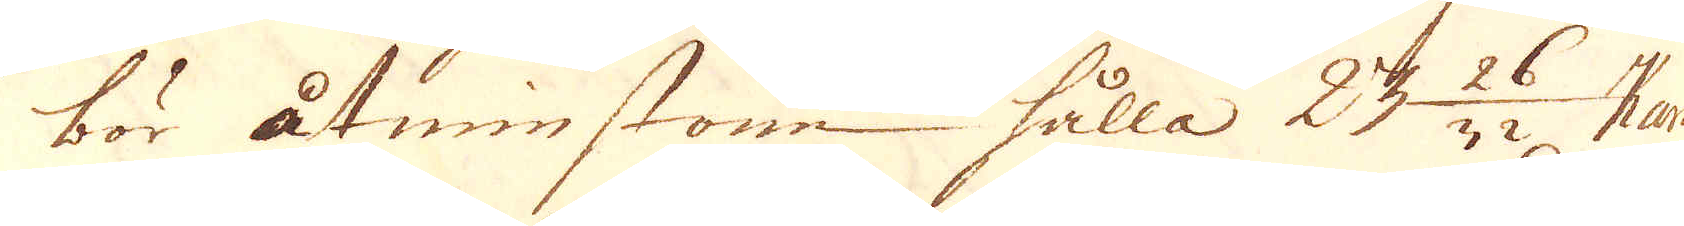bör åtsmintone hålla 23 26/32 Kar.
